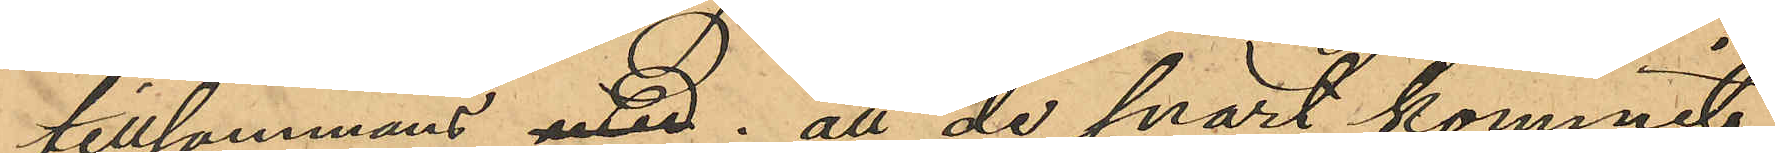tillsammans med; att de snart kommit
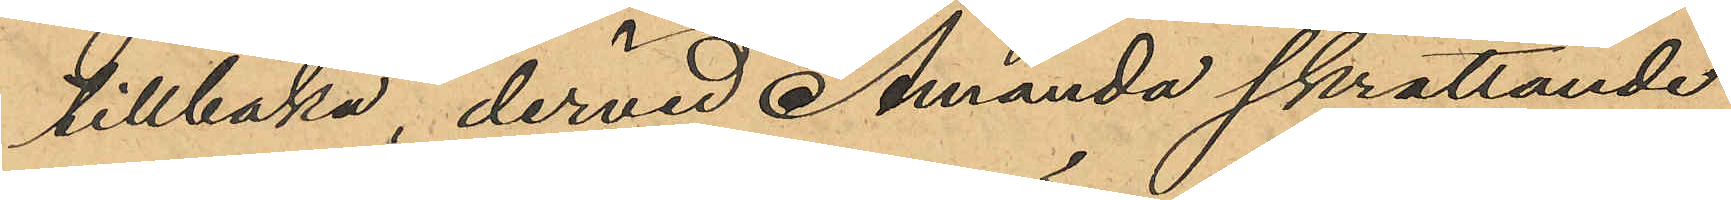tillbaka, dervid Amanda skrattande
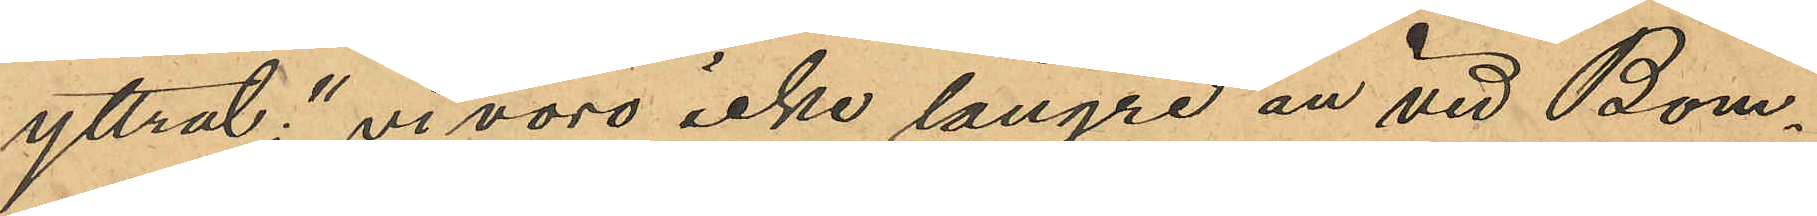yttrat: "vi voro icke längre än vid Bom¬
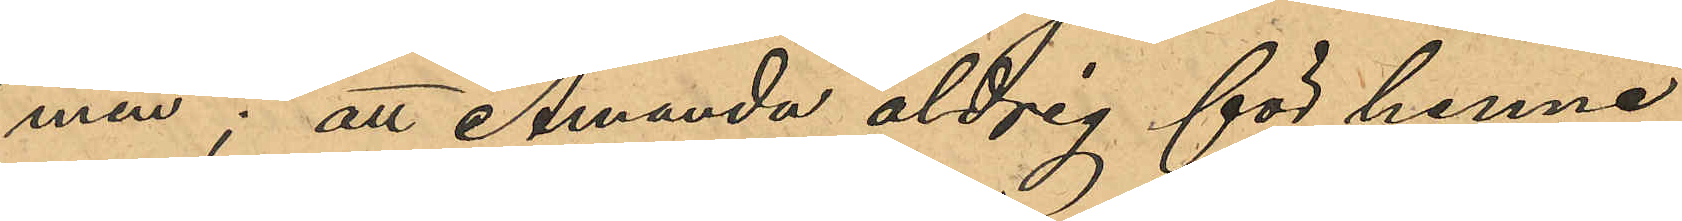men"; att Amanda aldrig för henne
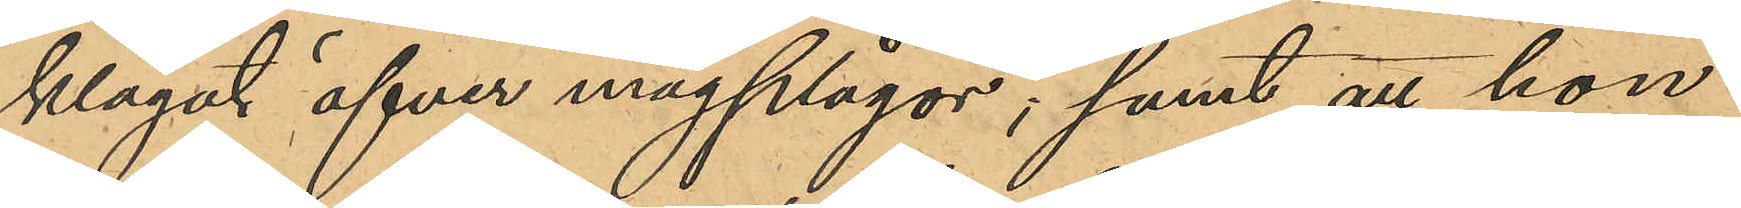klagat öfver magplågor; samt att hon
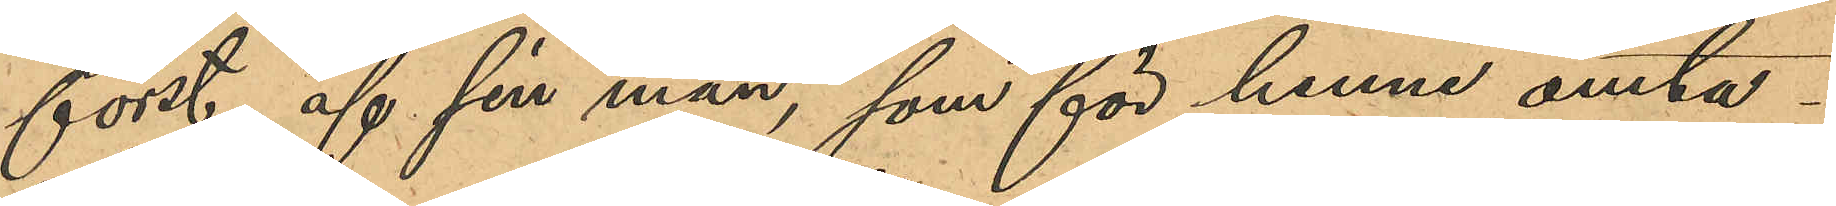först af sin man, som för henne omta¬
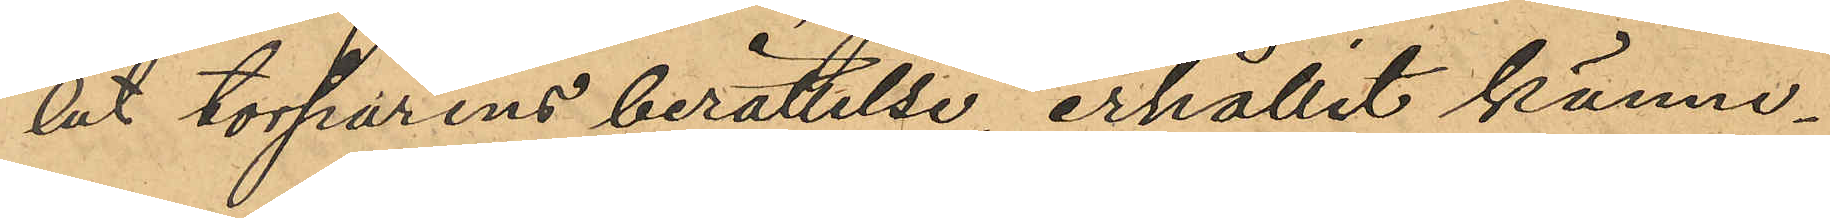lat torparens berättelse, erhållit känne¬
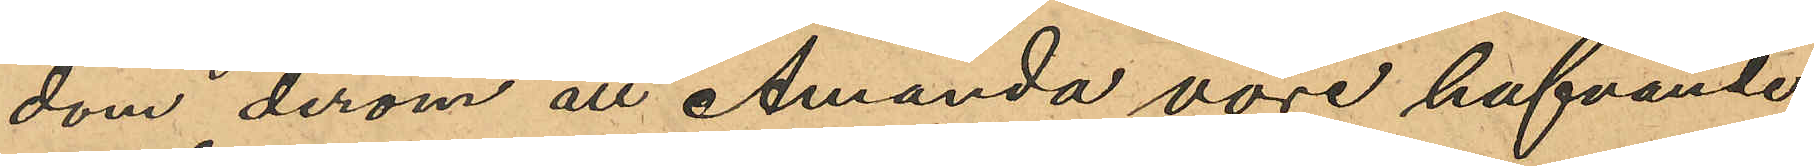dom derom att Amanda vore hafvande.
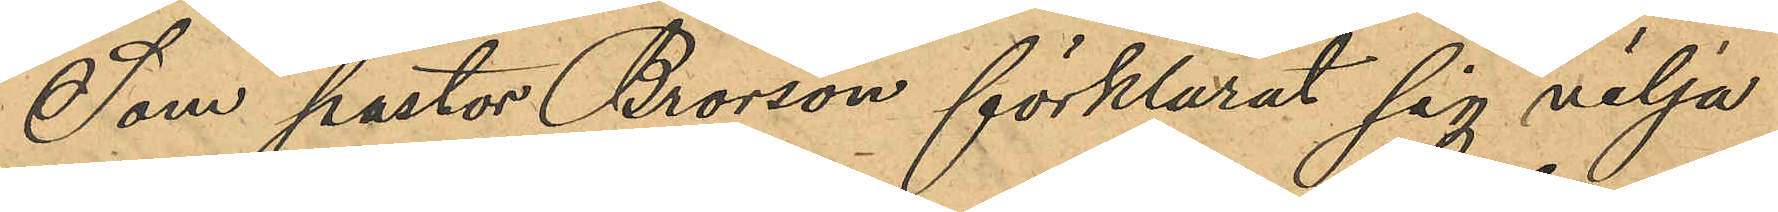Som pastor Brorson förklarat sig vilja
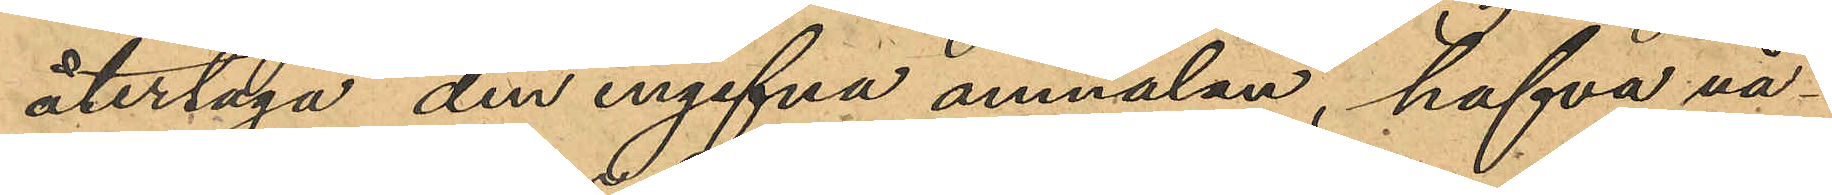återtaga den ingifna anmälan, hafva nå¬
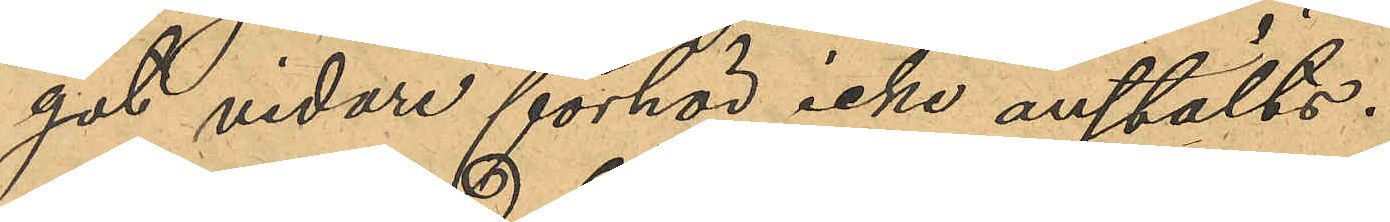got vidare förhör icke anstälts.
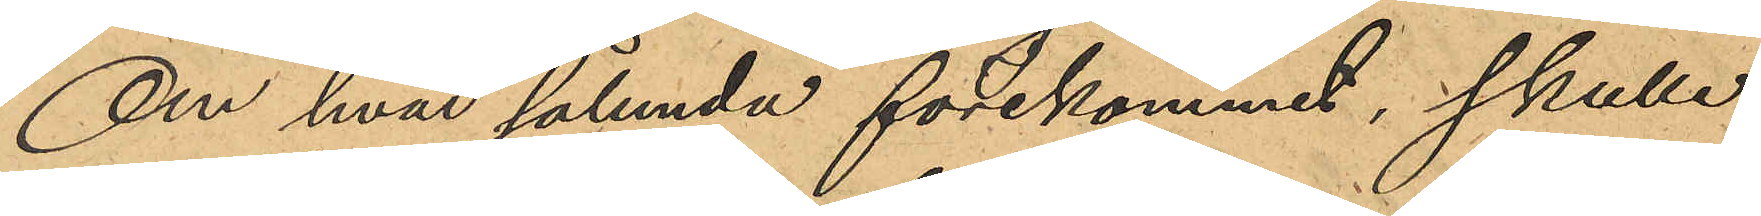Om hvad sålunda förekommit, skulle
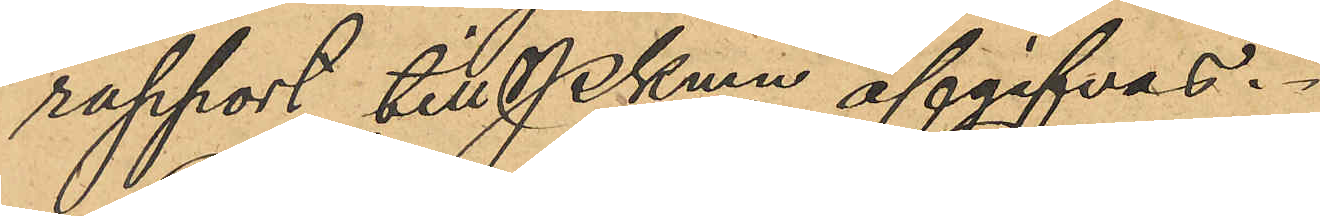rapport till Pkmn afgifvas.
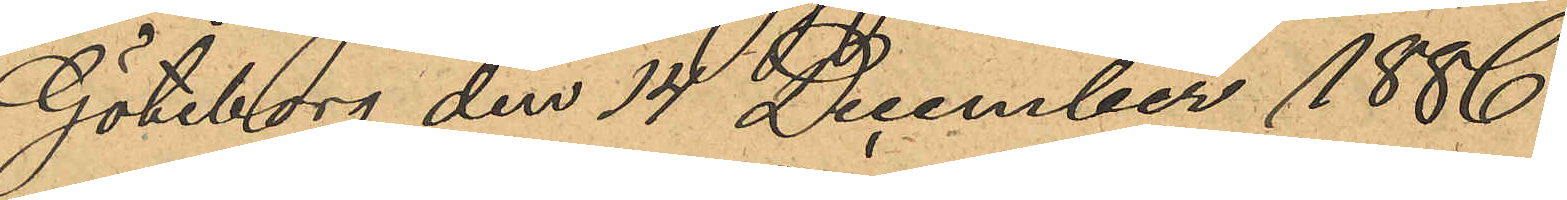Göteborg den 14 December 1886.
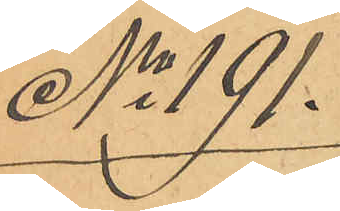No 191.
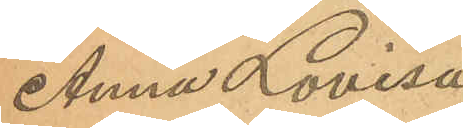Anna Lovisa
